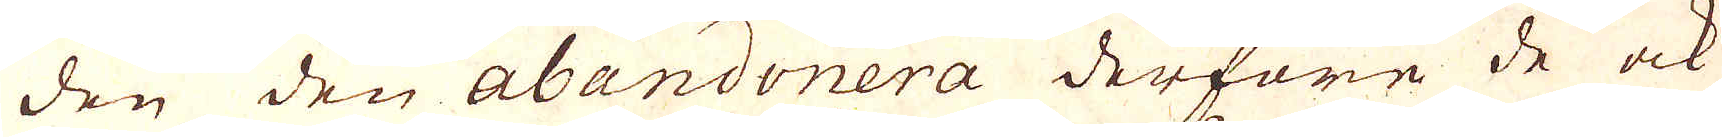den den abandonera derföre de ock
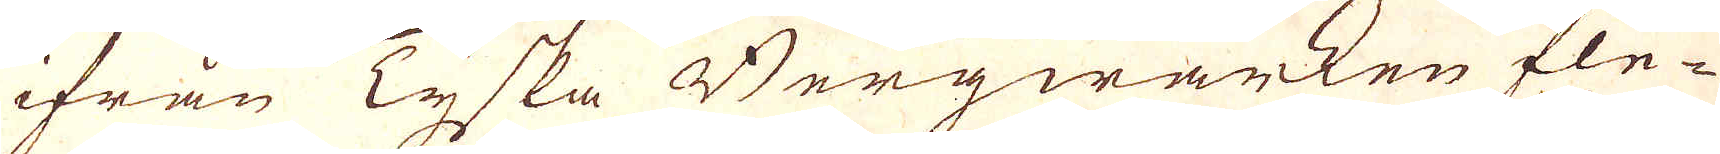ifrån Tyska Bergwärken fle-
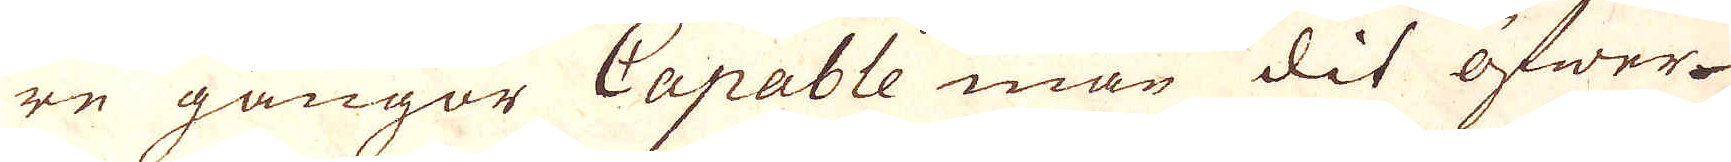re gånger Capable män dit öfwer
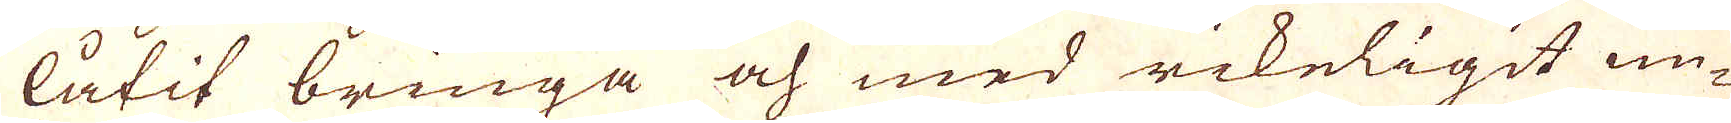låtit bringa och med rikeligit un-
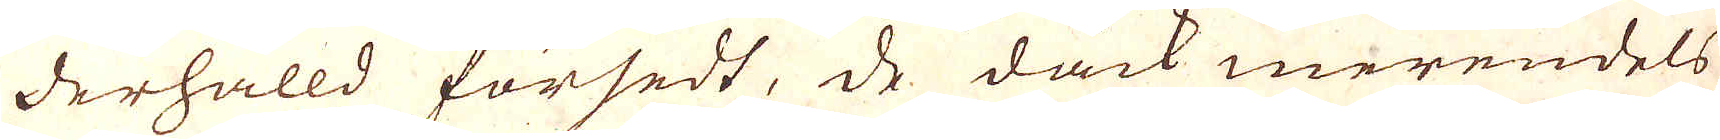derhålld försedt, dåck merendels
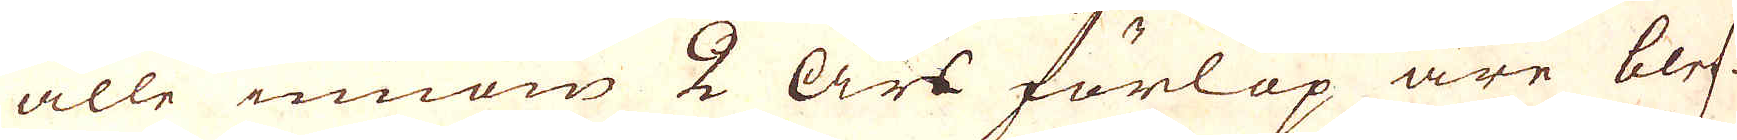alle innom 2 Års förlop äre blef-
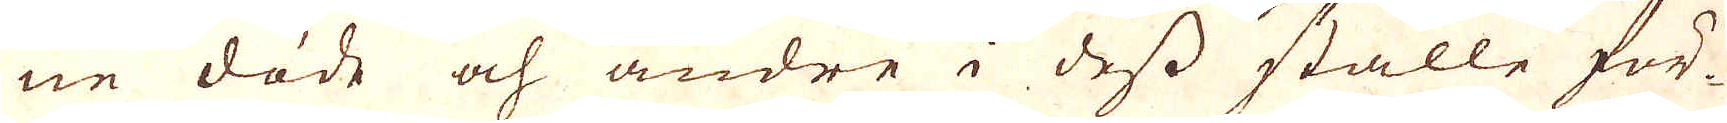ne döde och andre i dess ställe för-
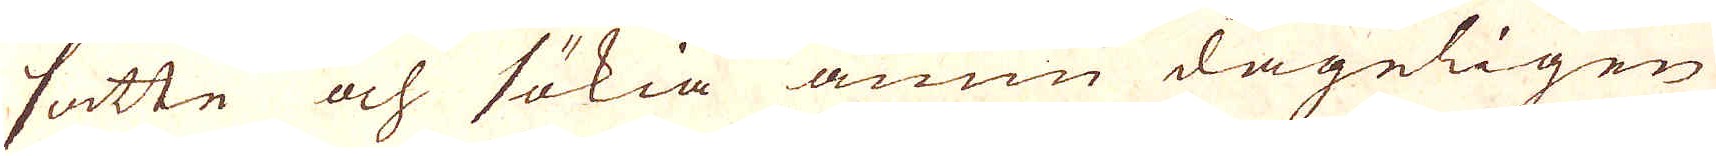satte och sökia ännu degeligen
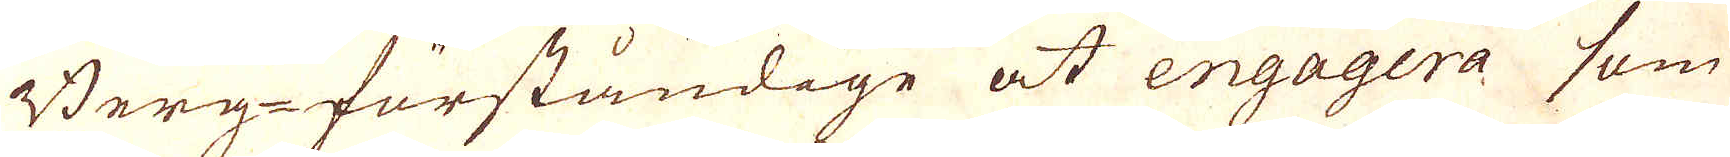Berg-förståndige at engagera som
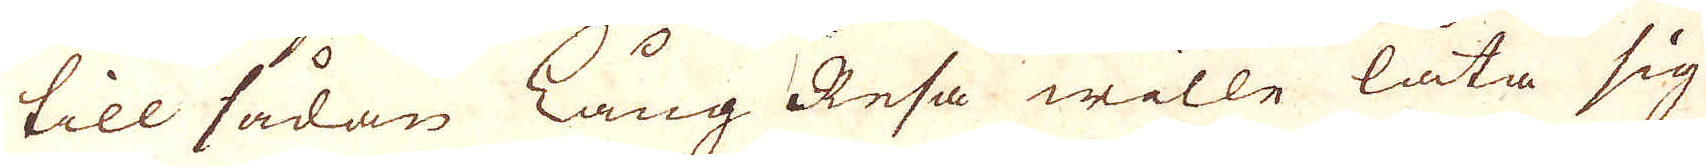till sådan Lång Resa wille låta sig
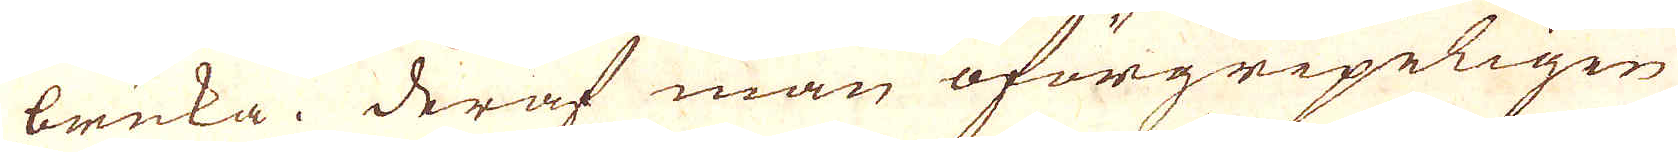bruka. Deraf man oförgripeligen
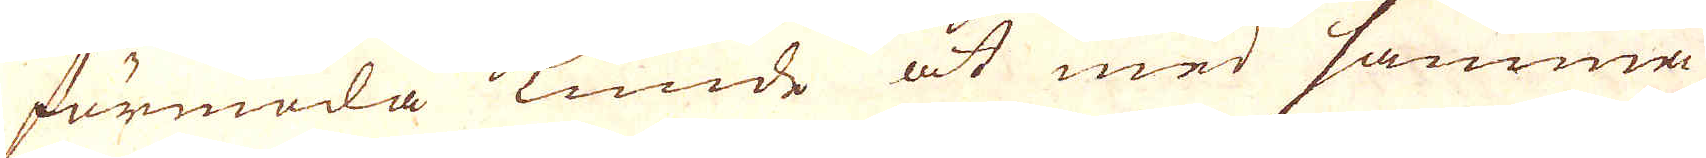förmoda kunde at med samma
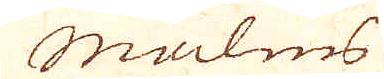malms
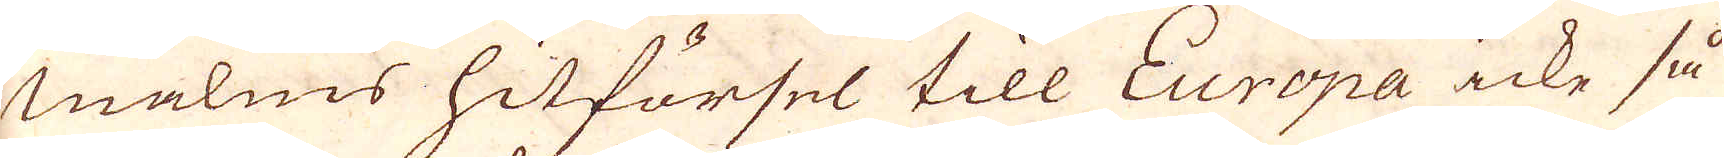malms hitförsel till Europa icke så
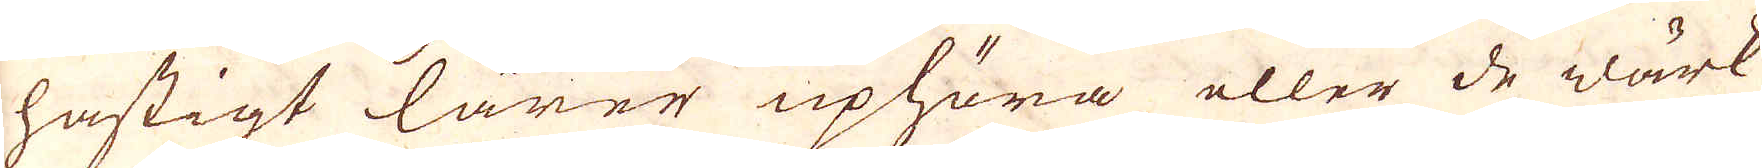hastigt lärer uphöra eller de wärk
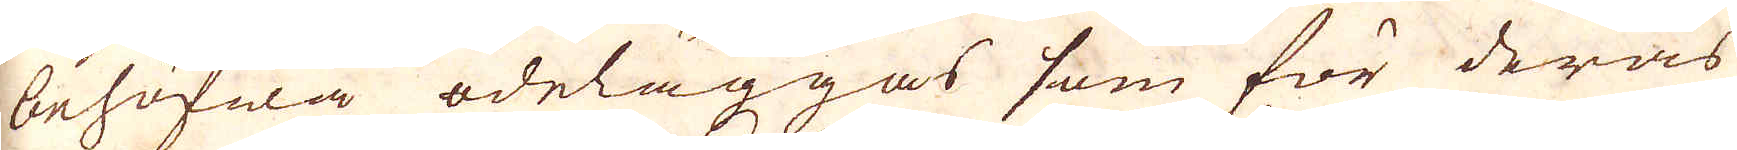behöfwa ödeläggas som för deras
